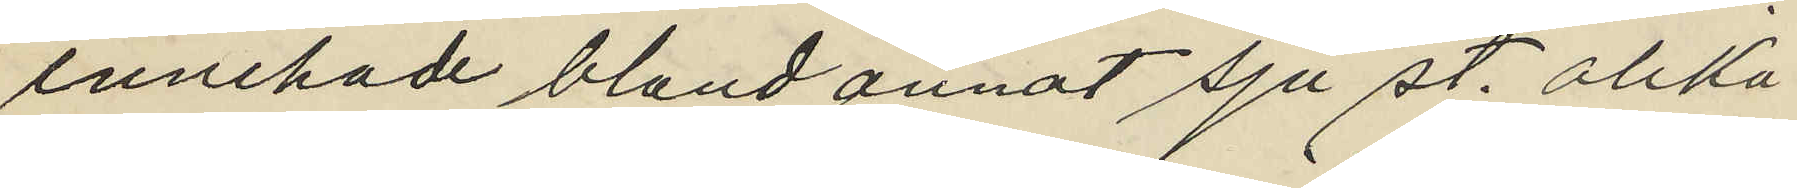innehade bland annat sju st. olika
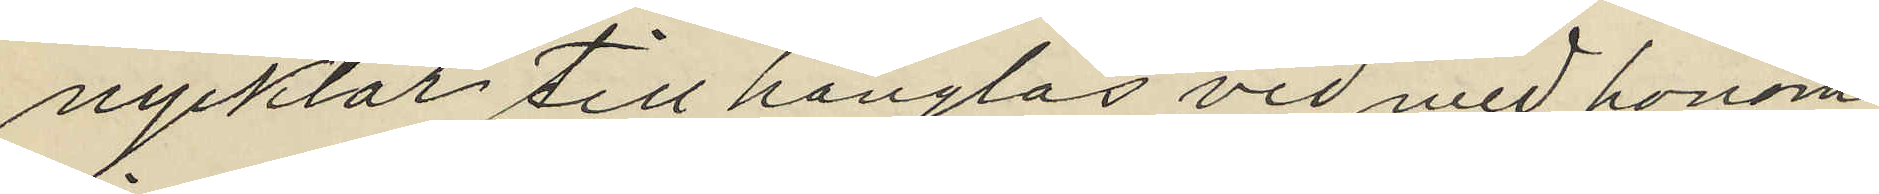nycklar till hänglås vid med honom
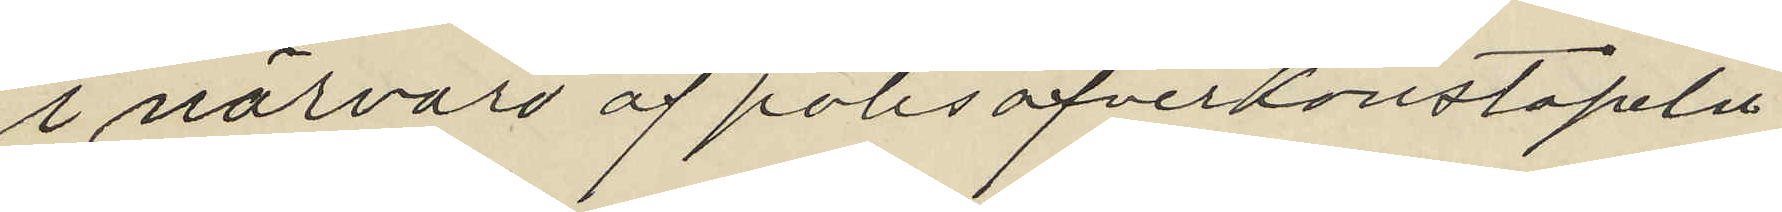i närvaro af polisöfverkonstapeln
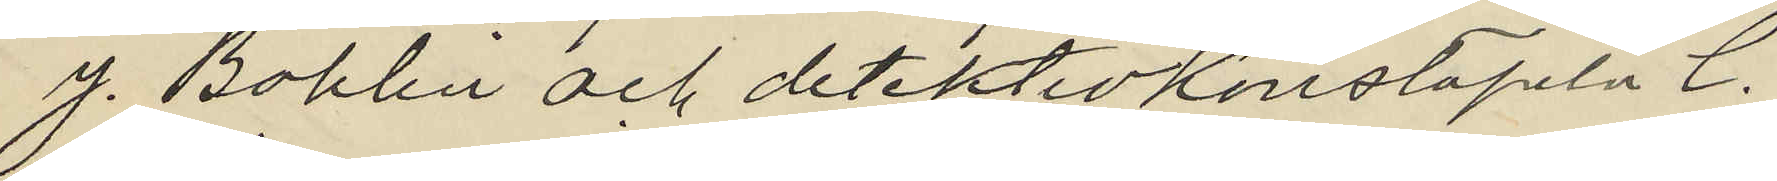J. Bohlin och detektivkonstapeln C.
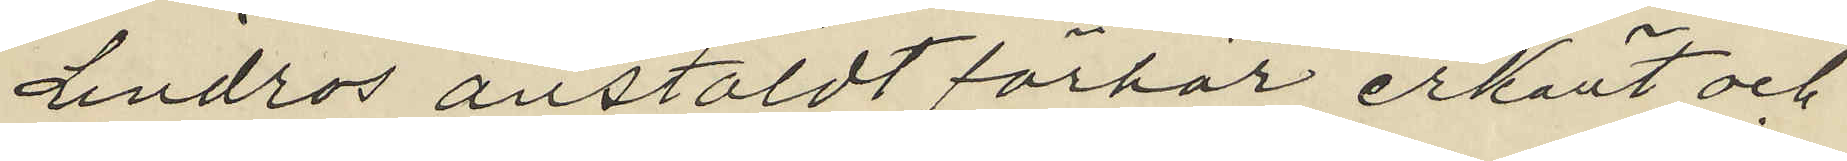Lindros anstäldt förhör erkänt och
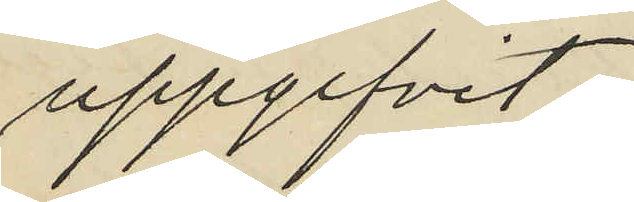uppgifvit:
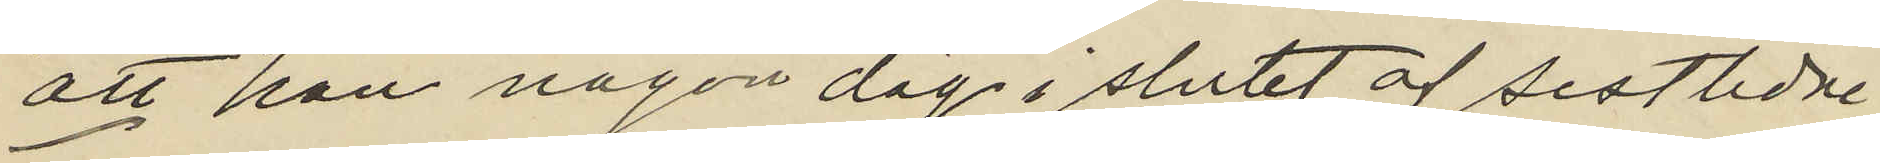att han någon dag i slutet af sistlidne
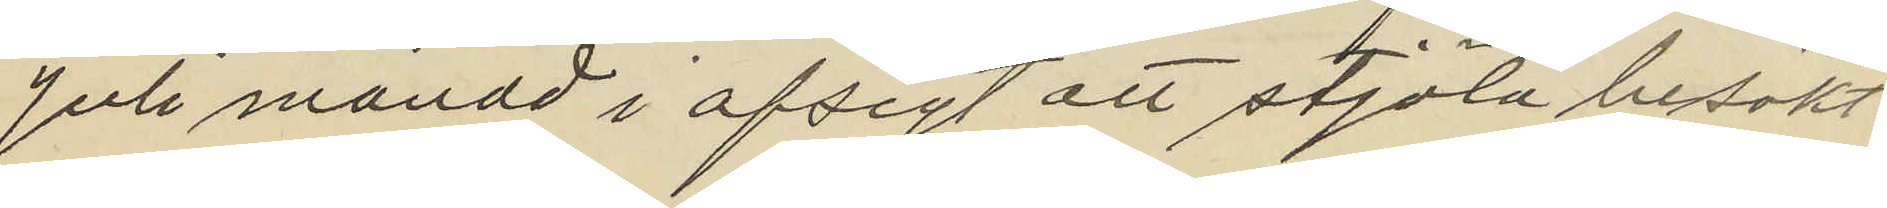Juli månad i afsigt att stjäla besökt
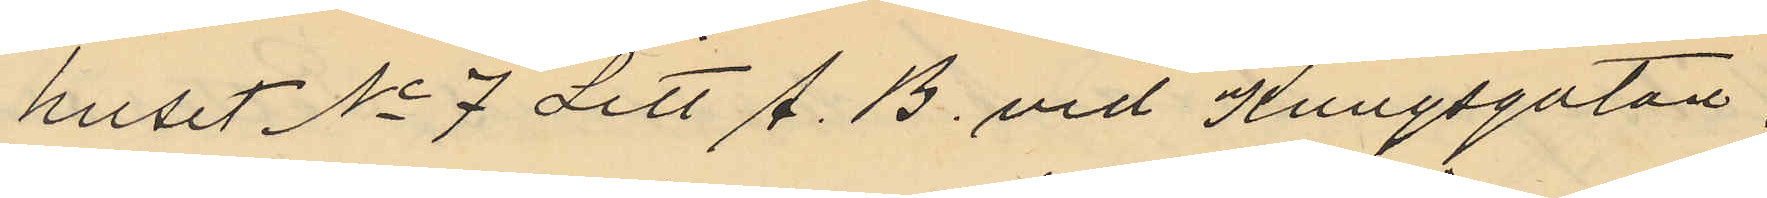huset No 7 Litt A. B. vid Kungsgatan,
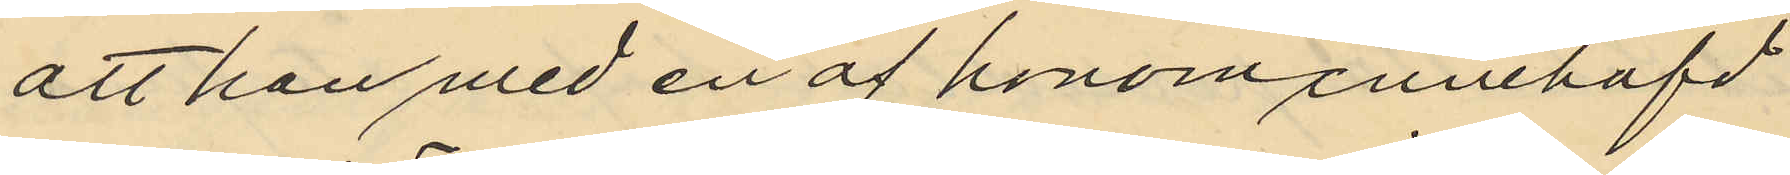att han med en af honom innehafd
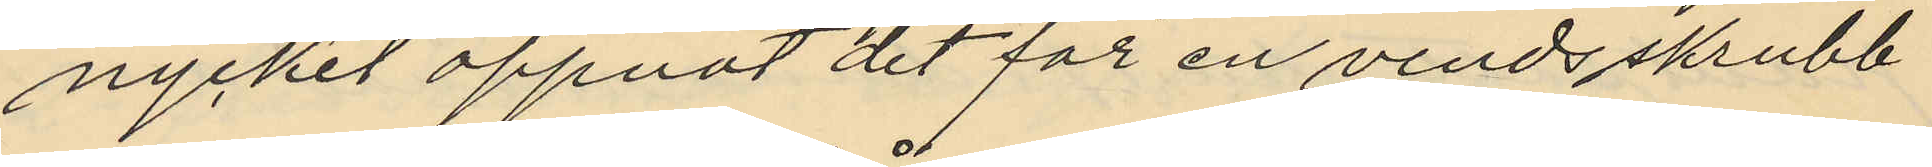nyckel öppnat det för en vindsskrubb
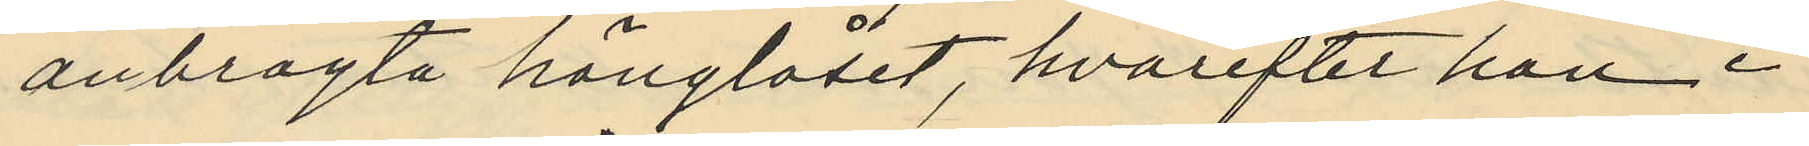anbragta hänglåset, hvarefter han i
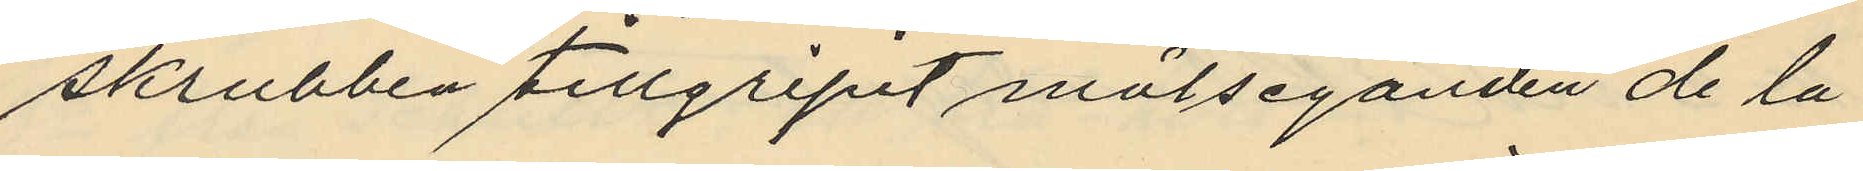skrubben tillgripit målseganden de la
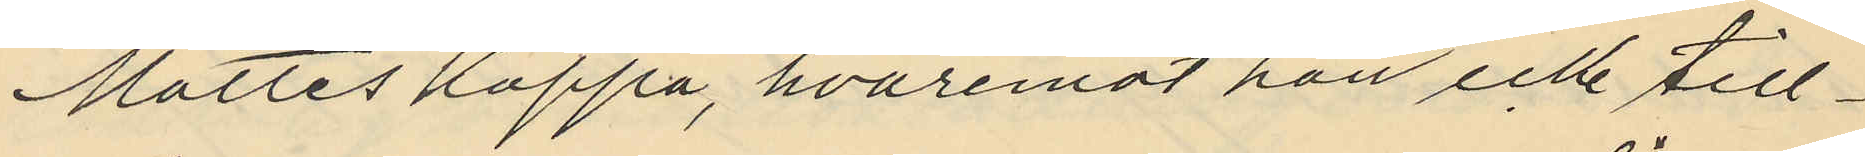Mottes kappa, hvaremot han icke till¬
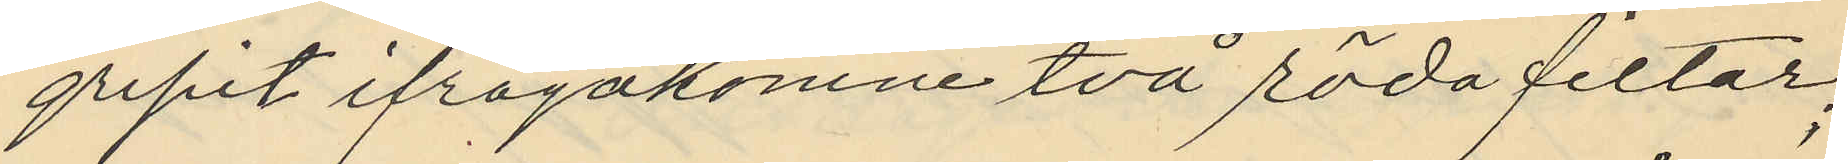gripit ifrågakomne två röda filtar;
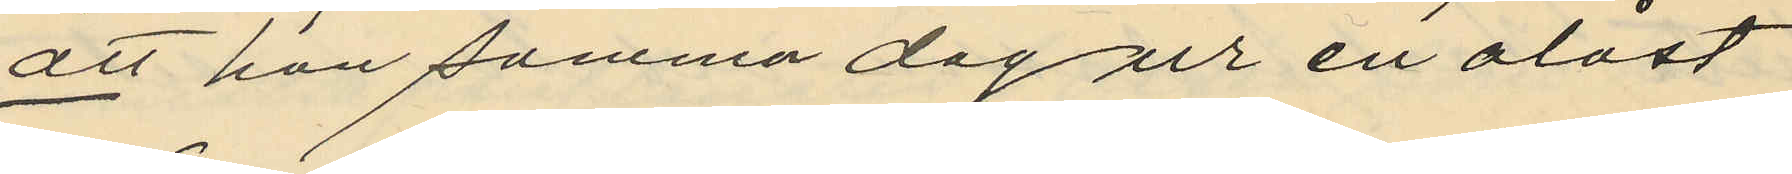att han samma dag ur en olåst
